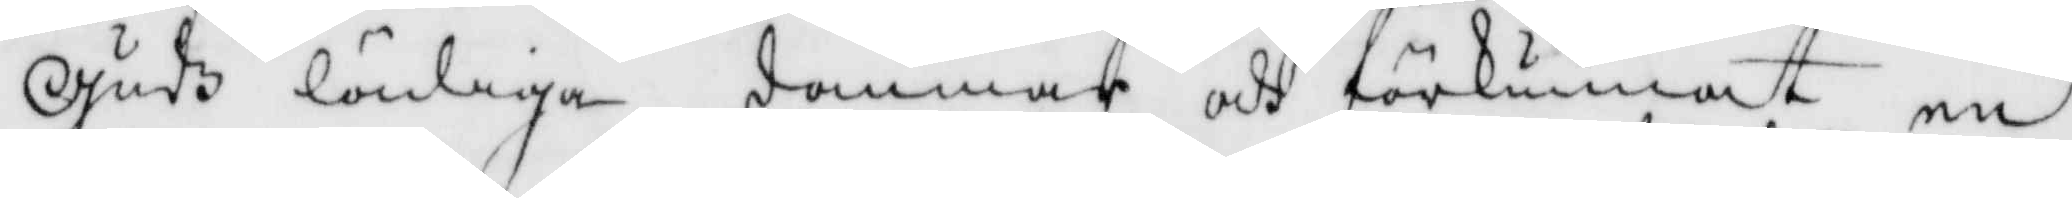Gudz lädiga dommar och förkunnat en
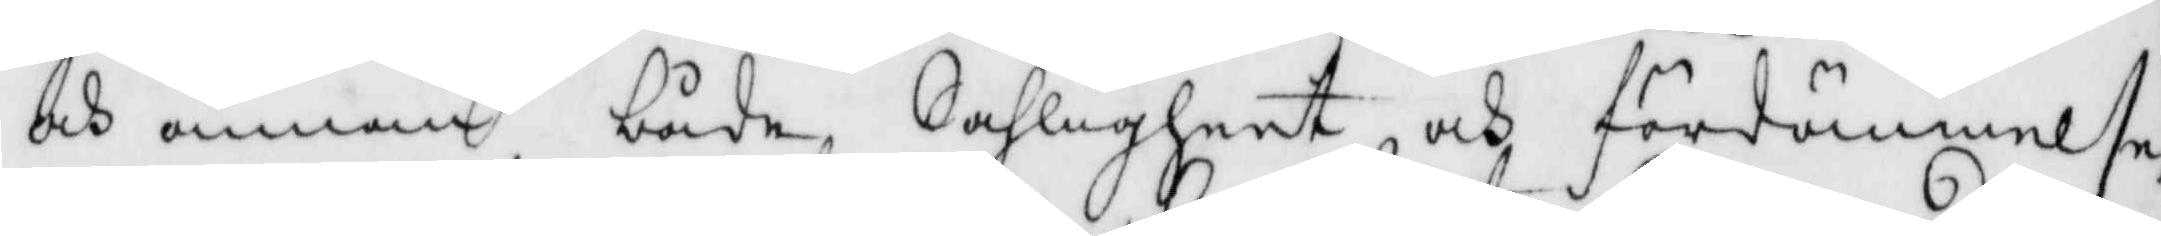och annan både Saligheet och fördömmelse
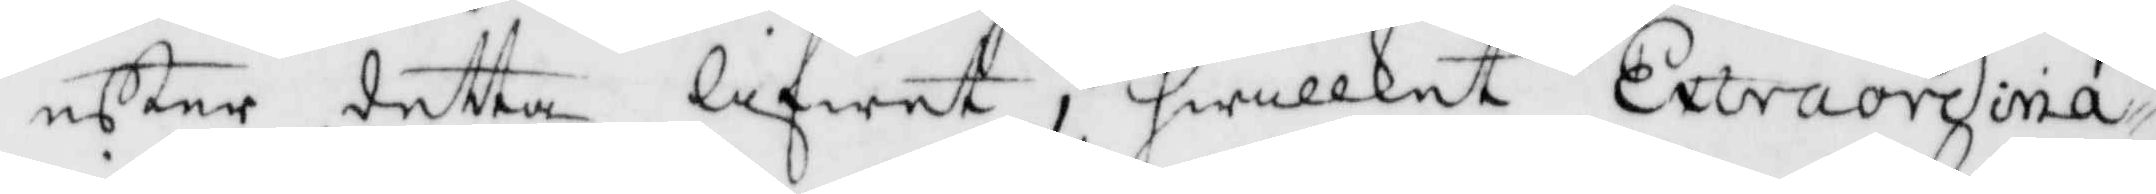effter detta lifwet, hwilket Extraordina¬
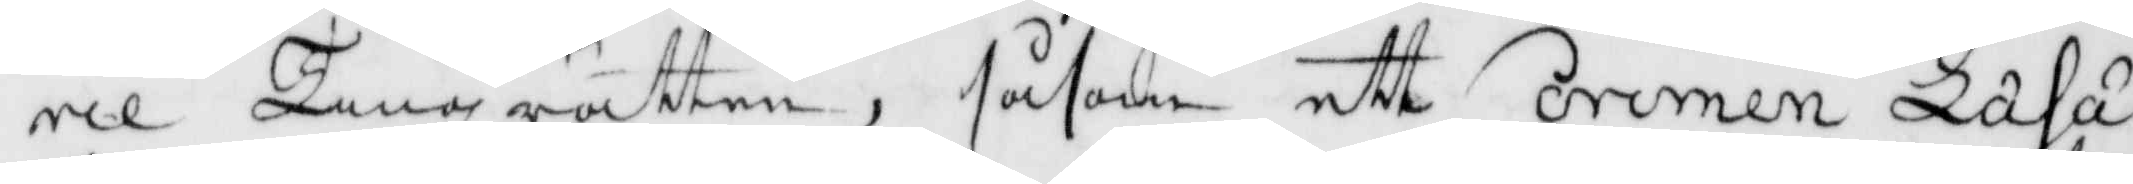rie Tingzrätten, såsom ett orinen Laha
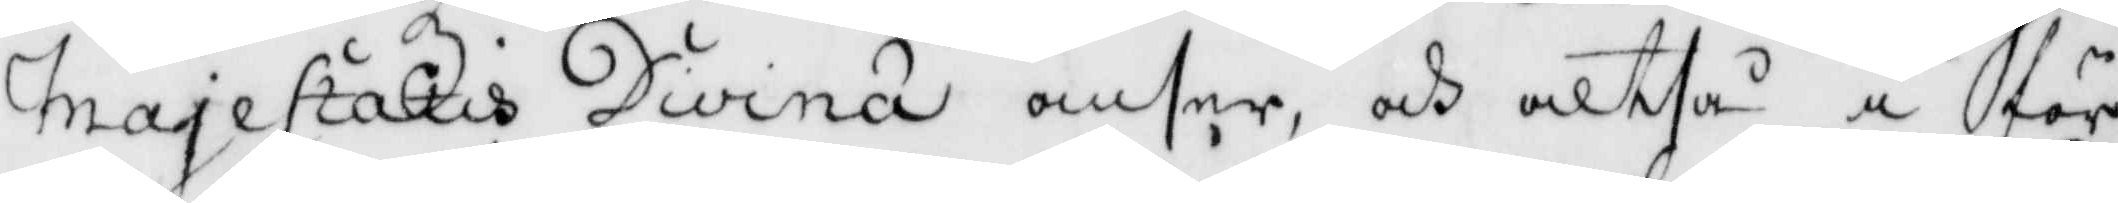majestatis Divina anser, och altså i för¬
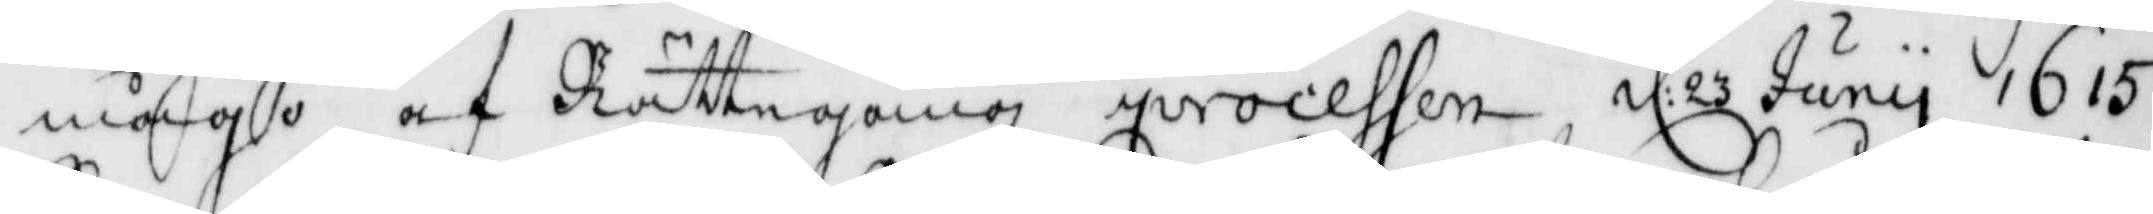mågo af Rättegångz processen d: 23 Juny 1615
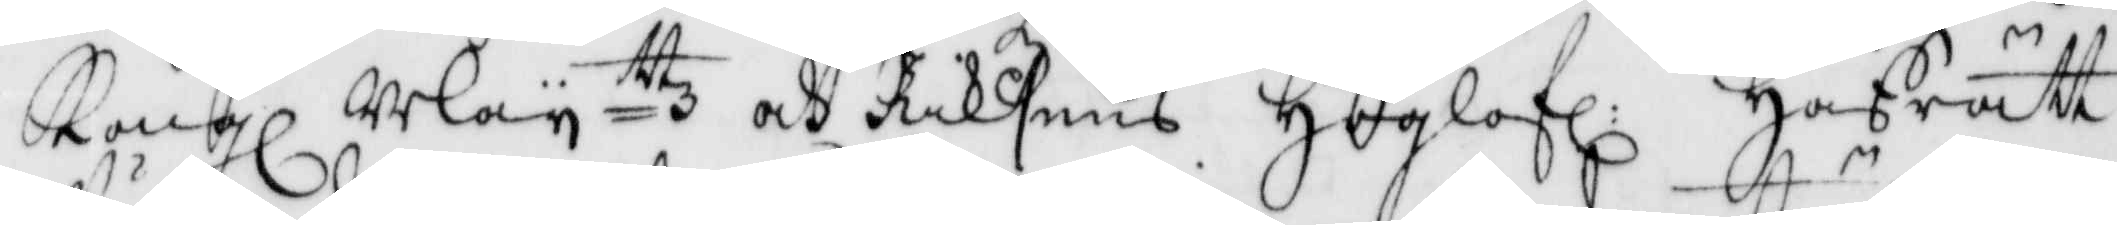Kongl Mayttz och Riksens Höglofl: Hofrätt
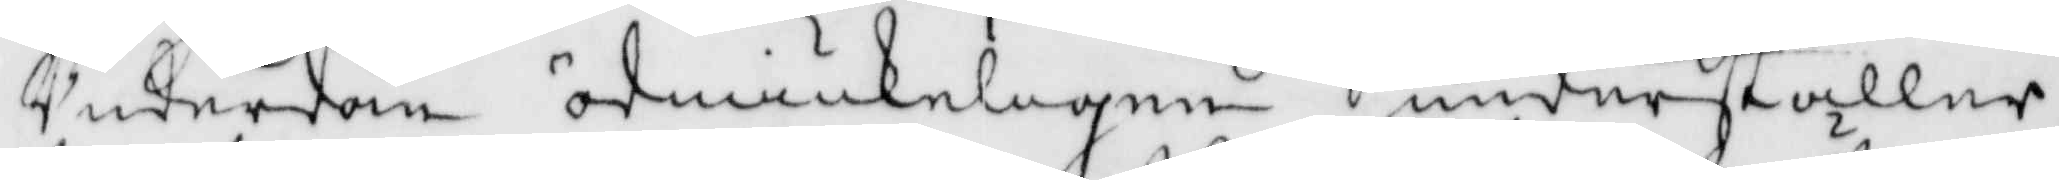Underdån ödmiukeligen underställer,
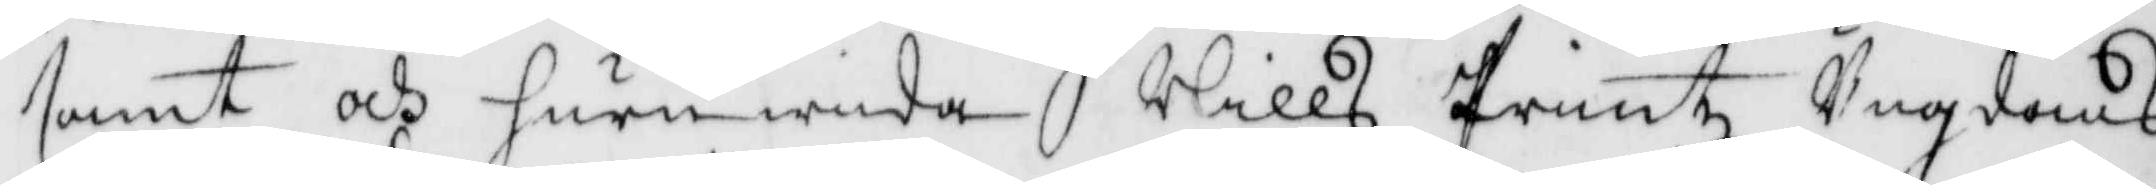samt och huru wida Nills Printz Ungdoms
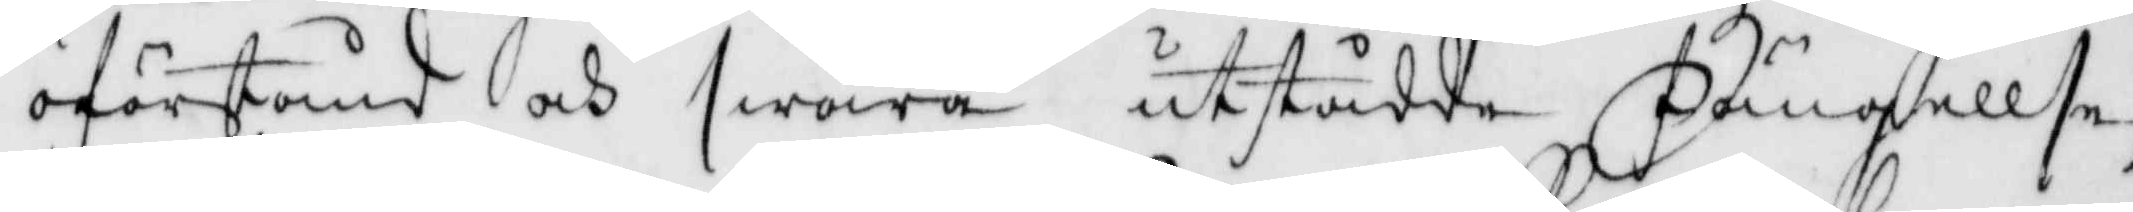oförstånd och awåra utstådda Fängellse,
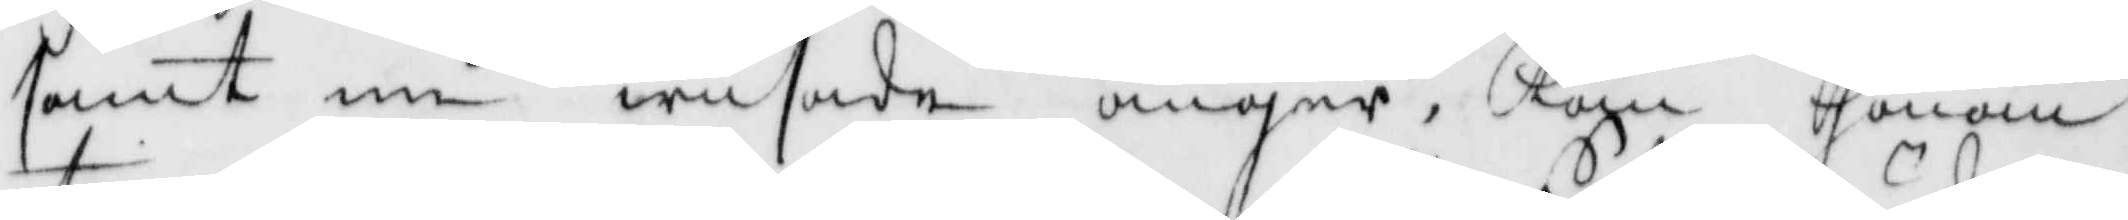samt nu wisade ånger, Kan honom
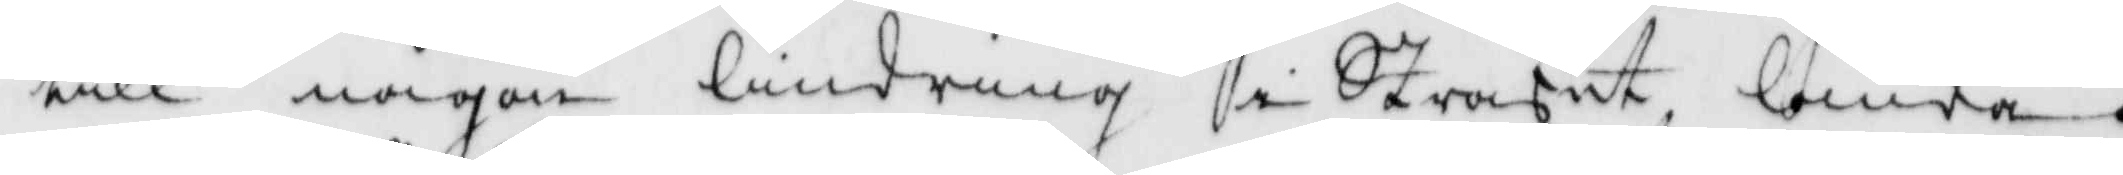till någon lindring i Straffet lända.
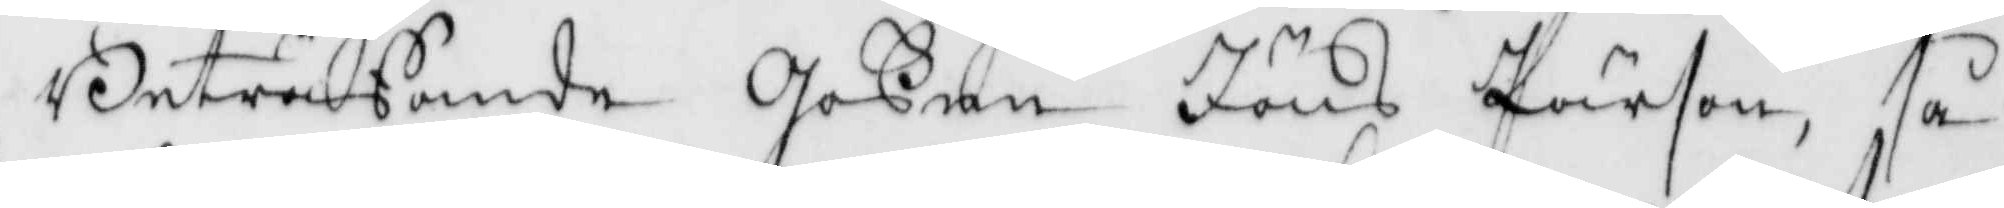Beträffande Goßen Jöns Pärson, så
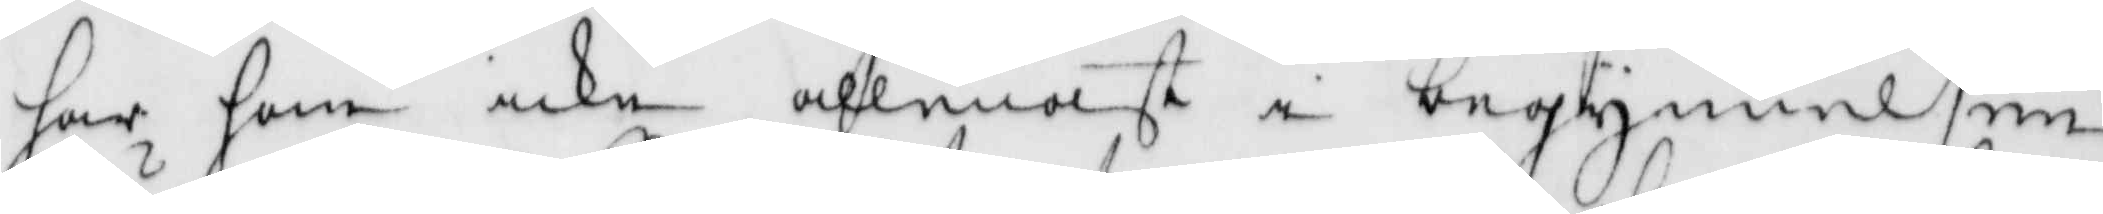har han icke allenast i begynnelsen
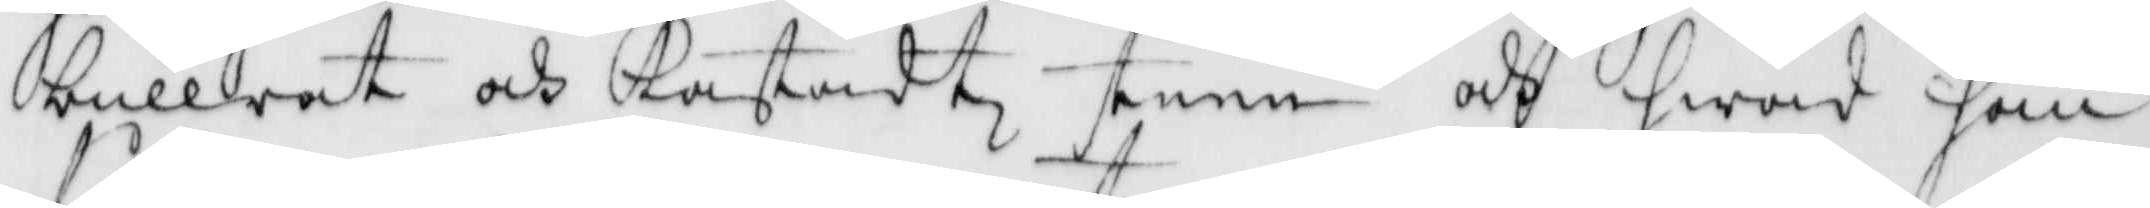bullrat och kastadt steen och hwad han
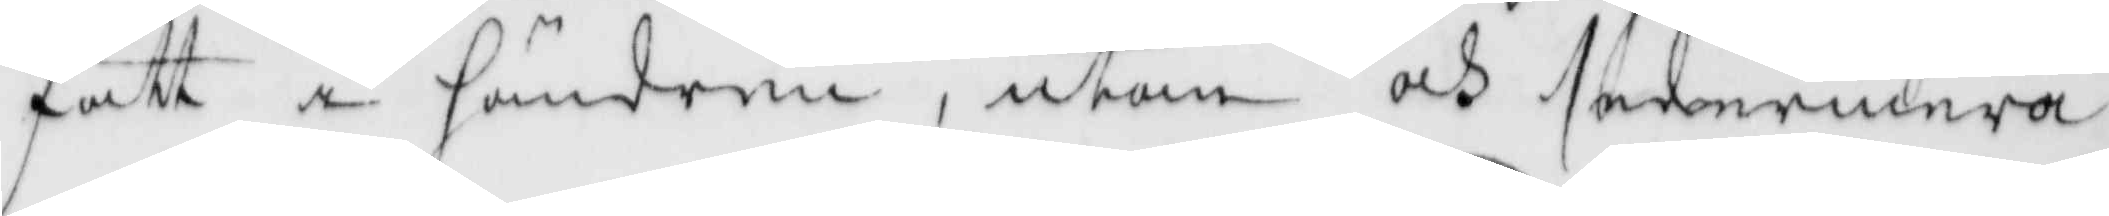fått i hänerna, utan och sedermera
